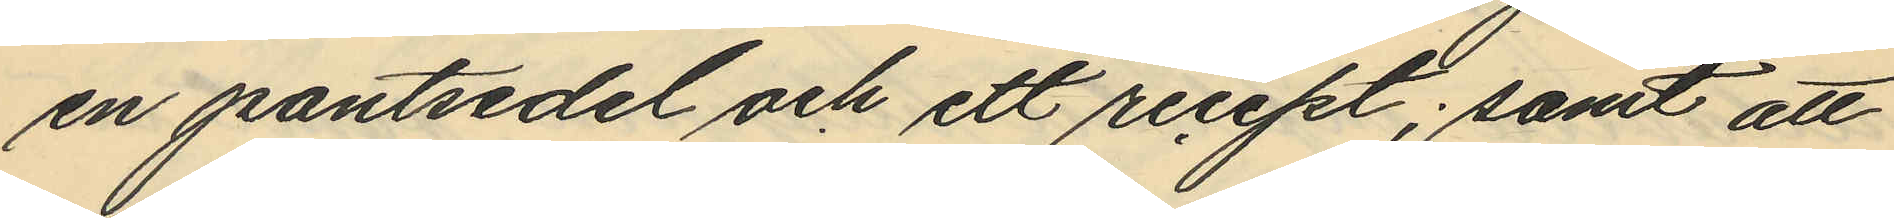en pantsedel och ett recept; samt att
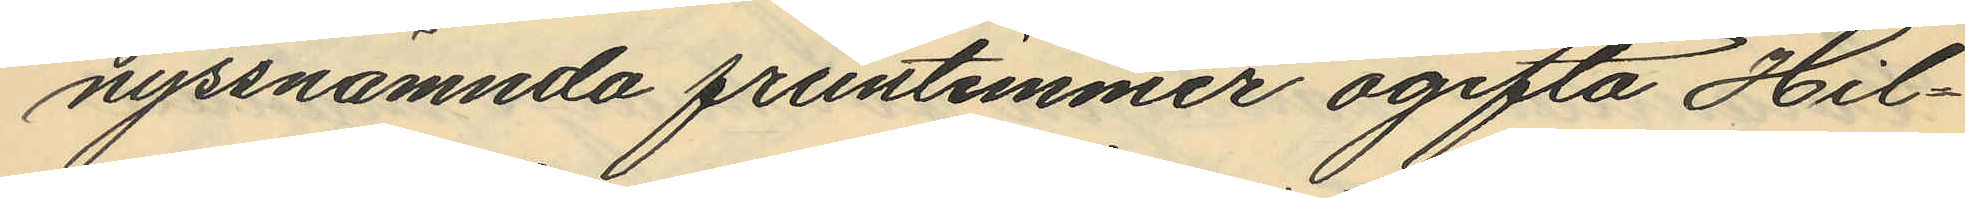nyssnämnda fruntimmer ogifta Hil¬
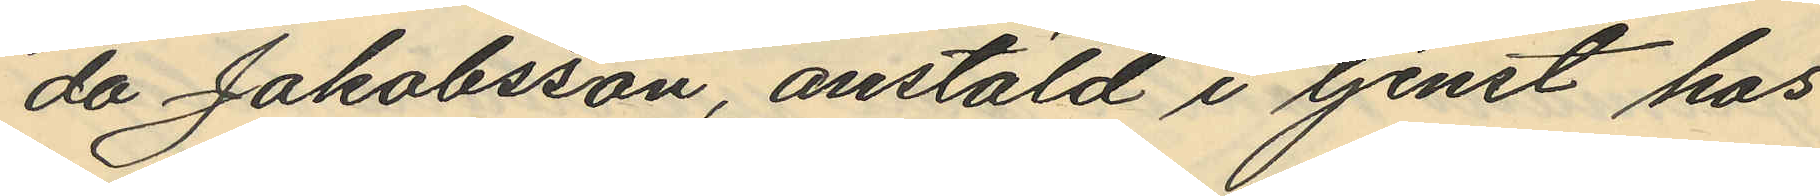da Jakobsson, anstäld i tjenst hos
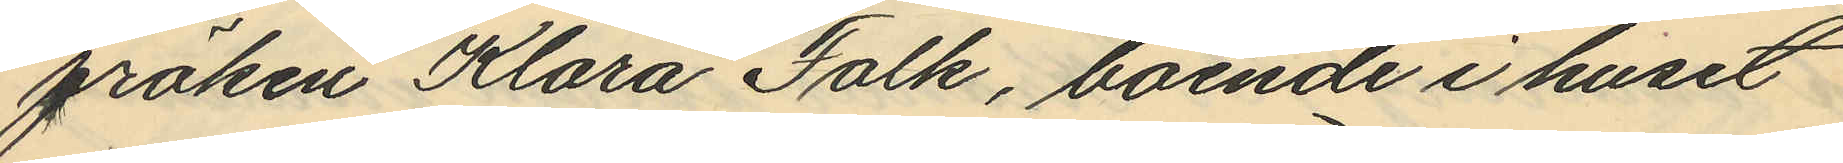fröken Klara Falk, boende i huset
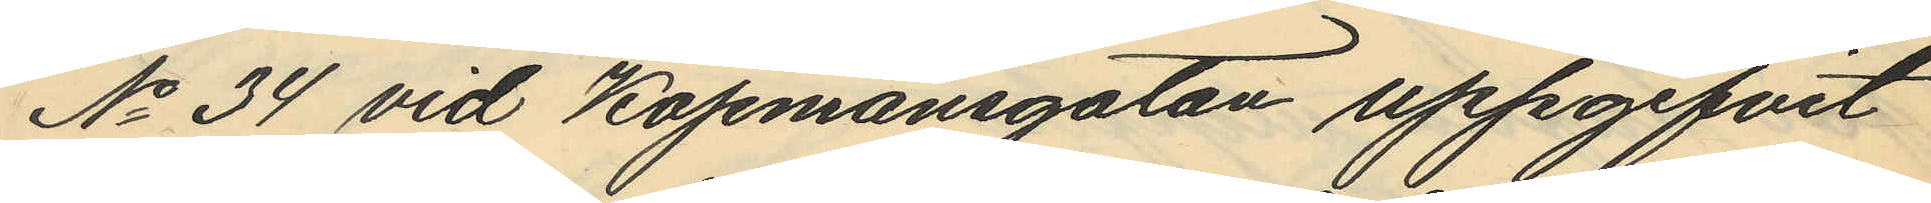No 34 vid Köpmansgatan uppgifvit
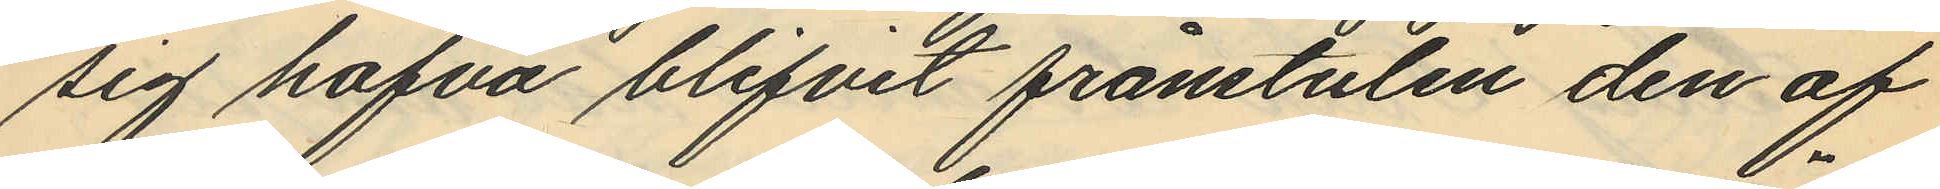sig hafva blifvit frånstulen den af
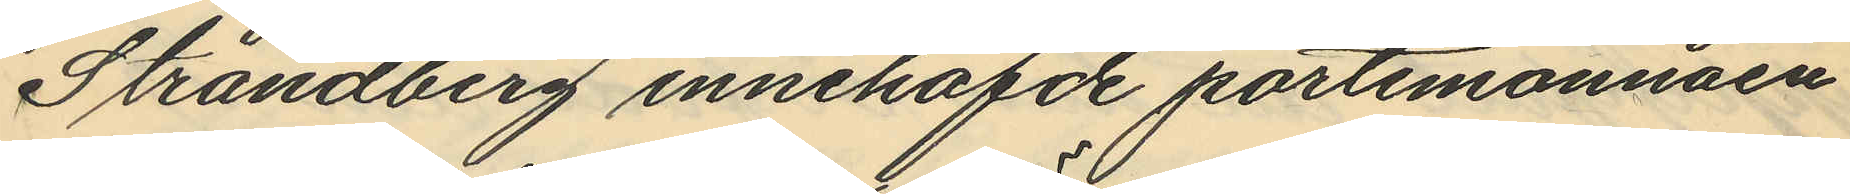Strandberg innehafde portemonnäen
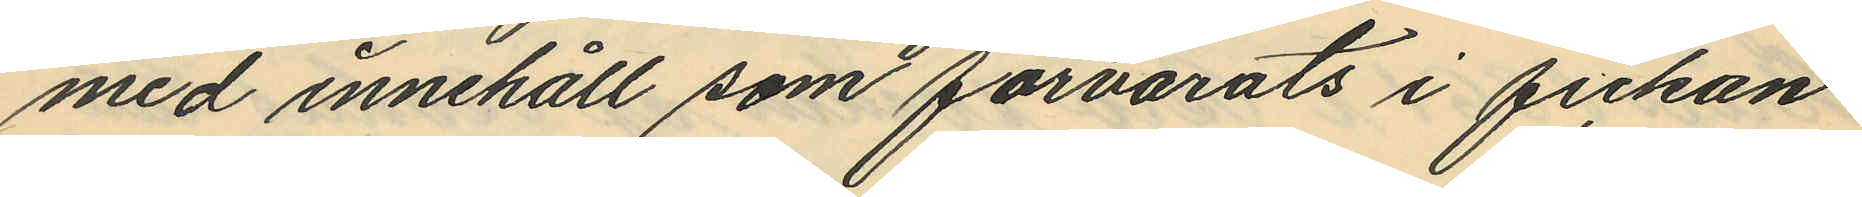med innehåll som förvarats i fickan
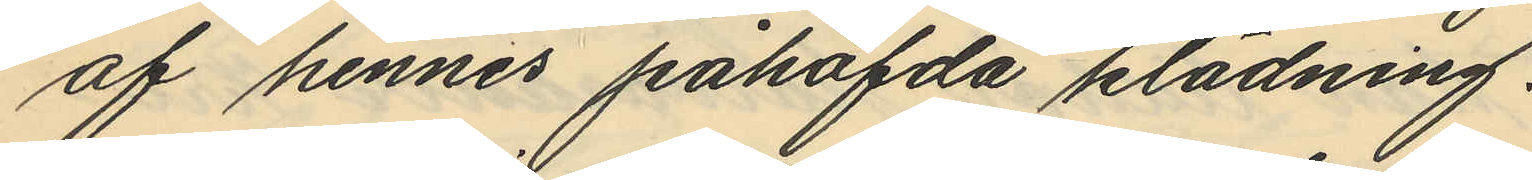af hennes påhafda klädning.
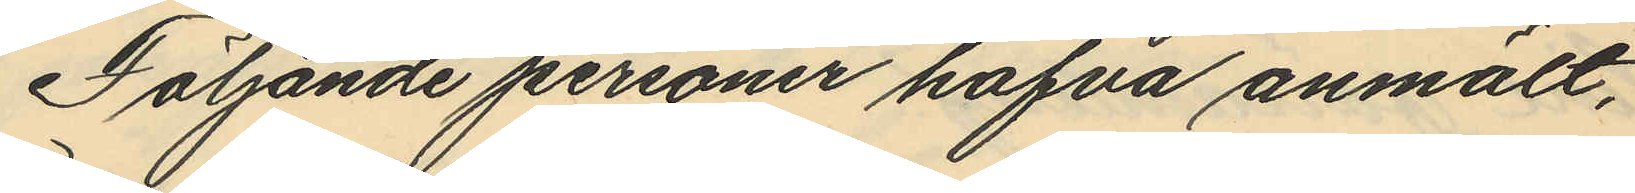Följande personer hafva anmält,
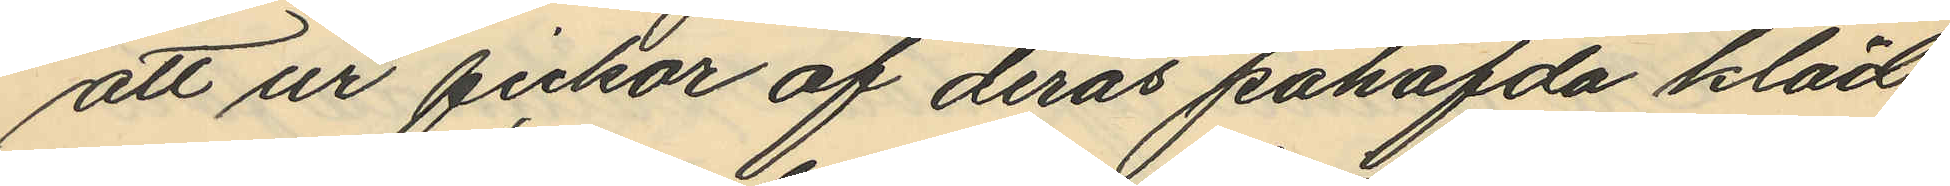att ur fickor af deras påhafvda kläd¬
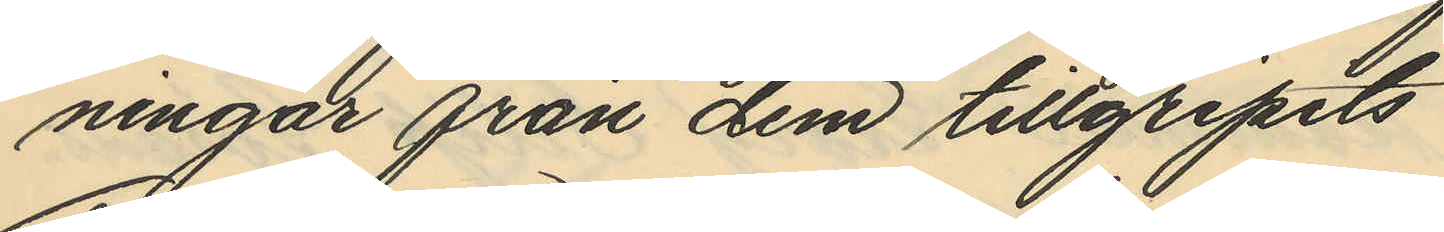ningar från dem tillgripits.
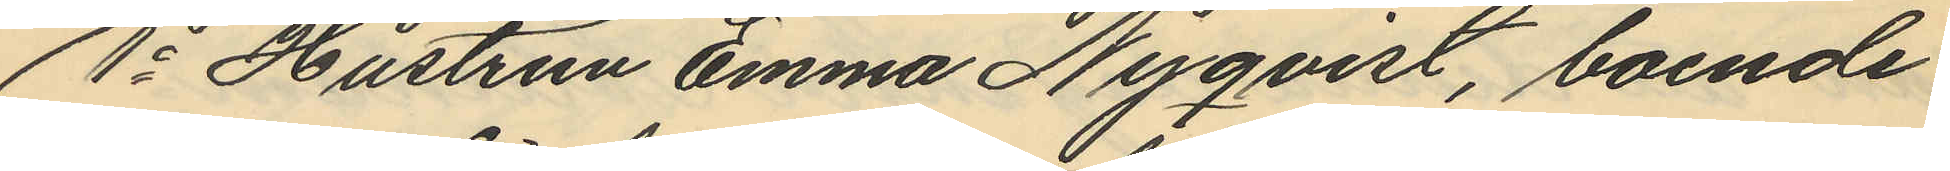1o Hustrun Emma Nyqvist, boende
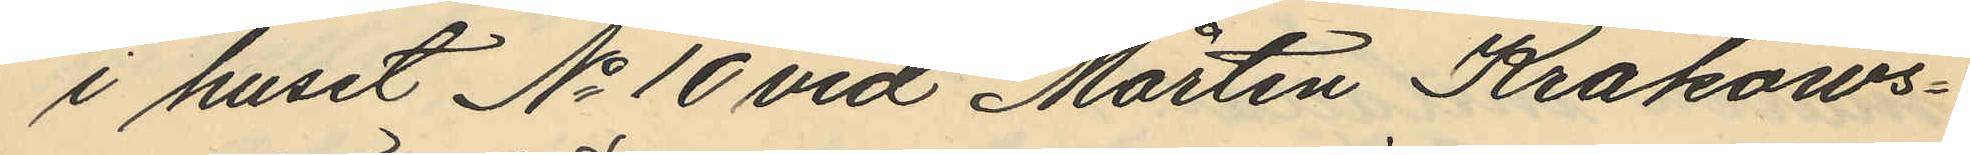i huset No 10 vid Mårten Krakows¬
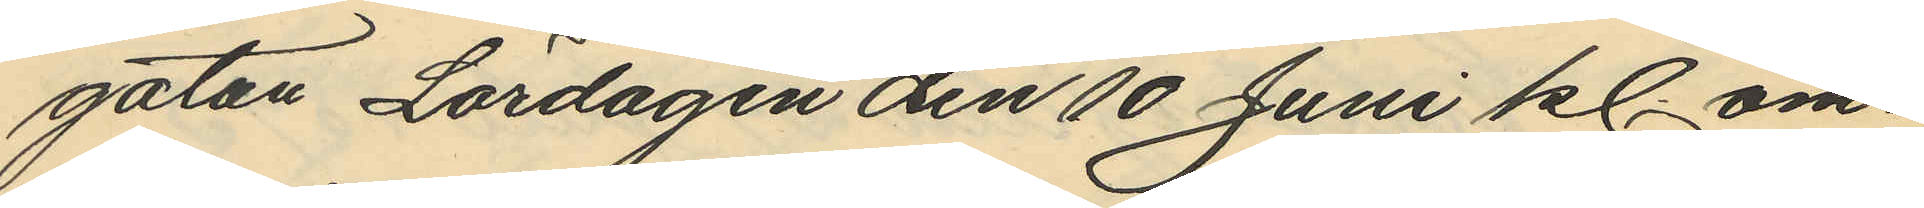gatan Lördagen den 10 Juni kl. om¬
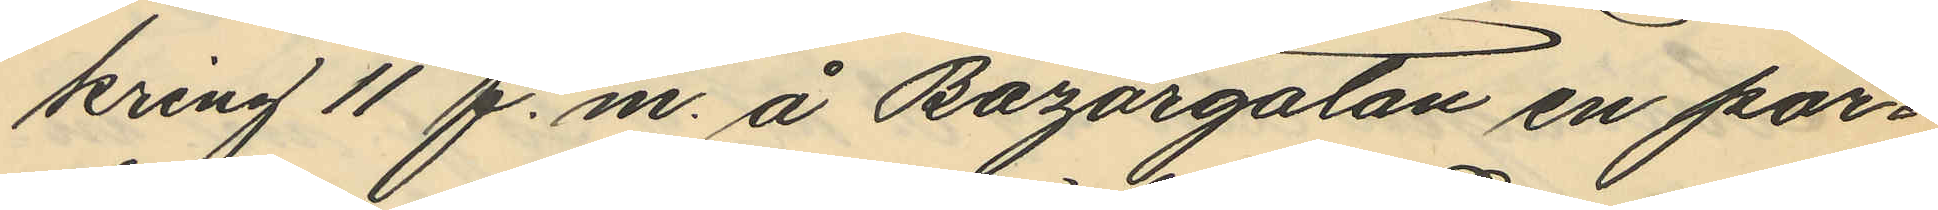kring 11 f.m. å Bazargatan en por¬
